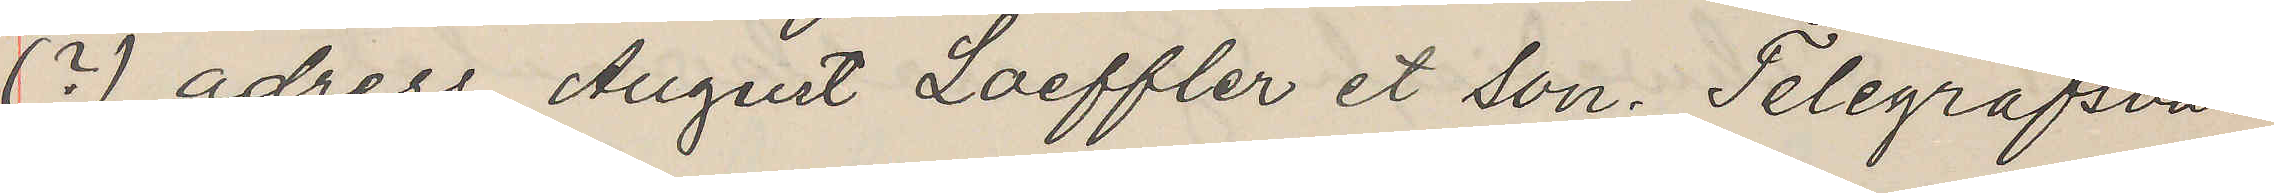(?) adress August Laeffler et Son. Telegrafsvar
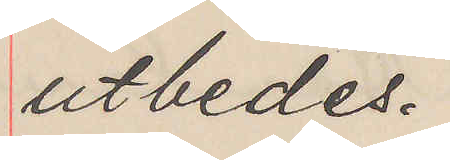utbedes.
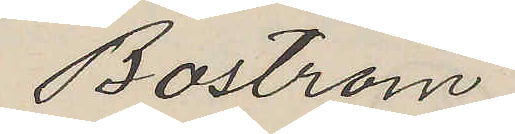Boström
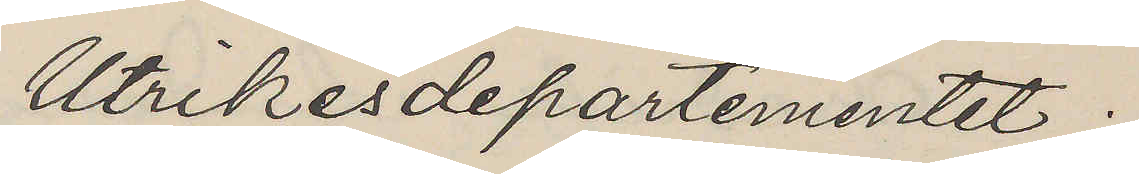Utrikesdepartementet.
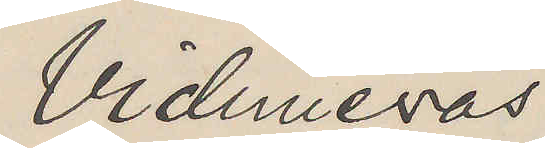Vidimeras
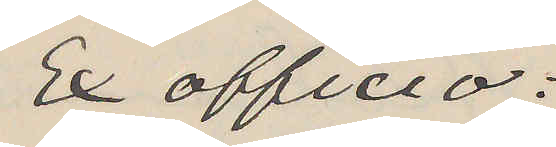Ex officio:
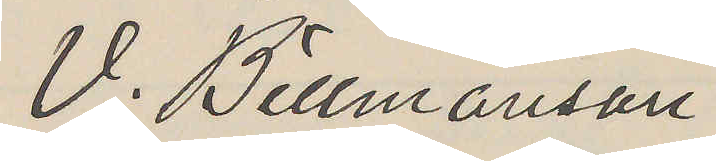V. Billmanson
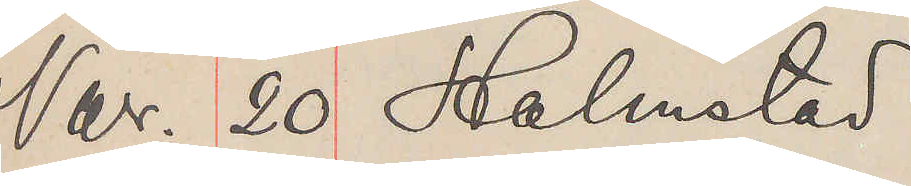Nov. 20 Halmstad
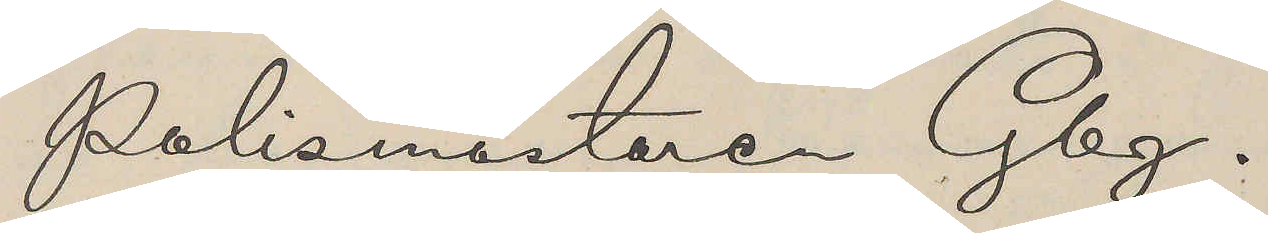Polismästaren Gbg.
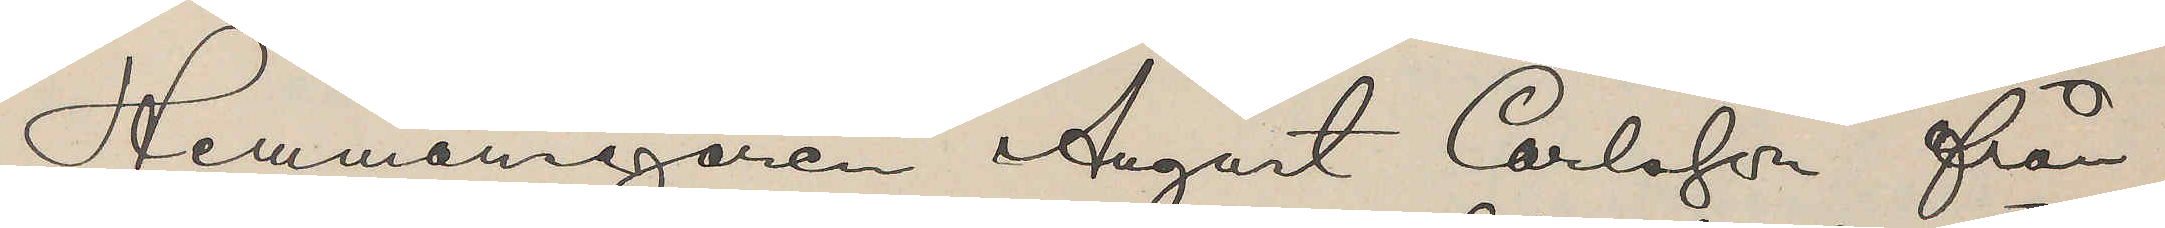Hemmansegaren August Carlsson från
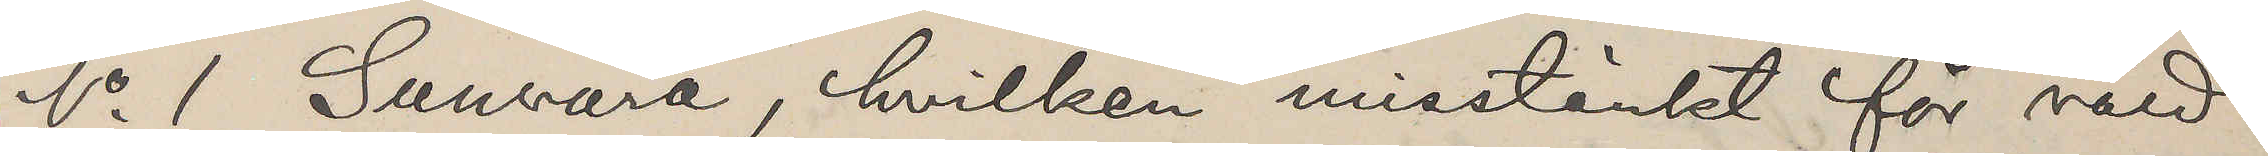No 1 Sunvära, hvilken misstänkt för våld
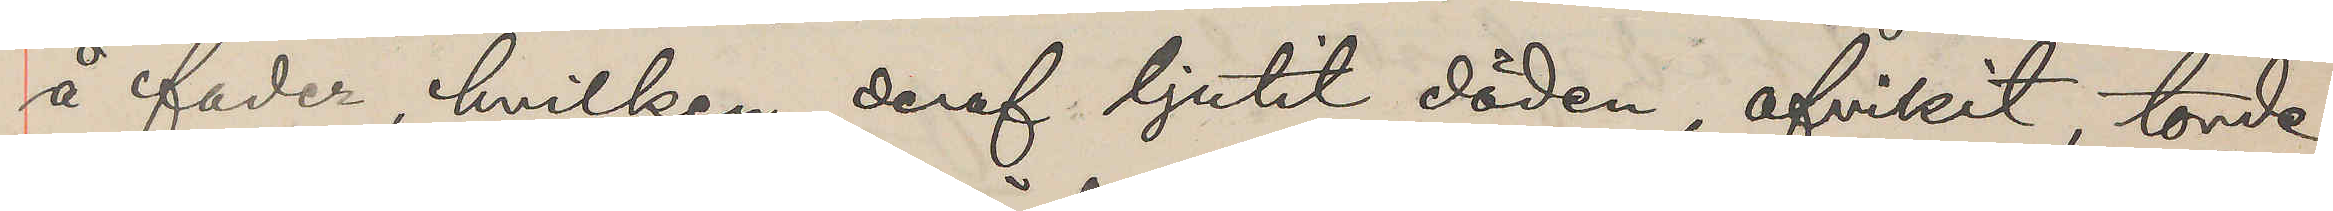å fader, hvilken deraf ljutit döden, afvikit, torde
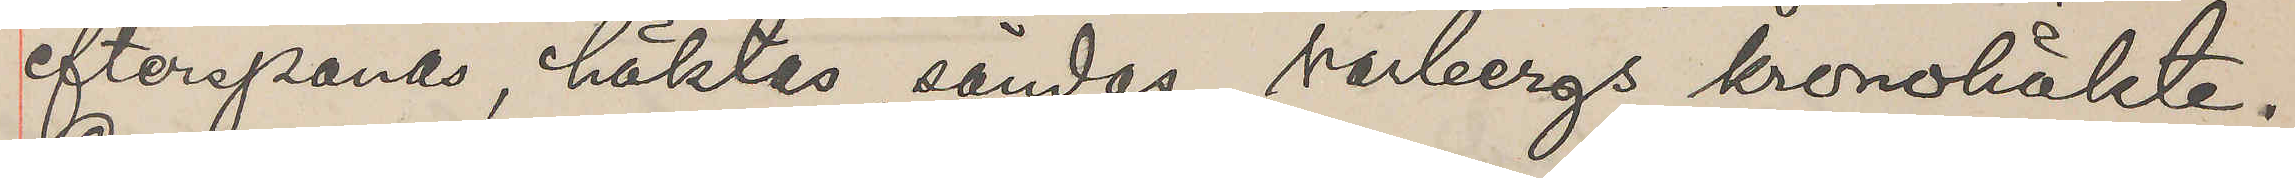efterspanas, häktas, sändas Varbergs kronohäkte,
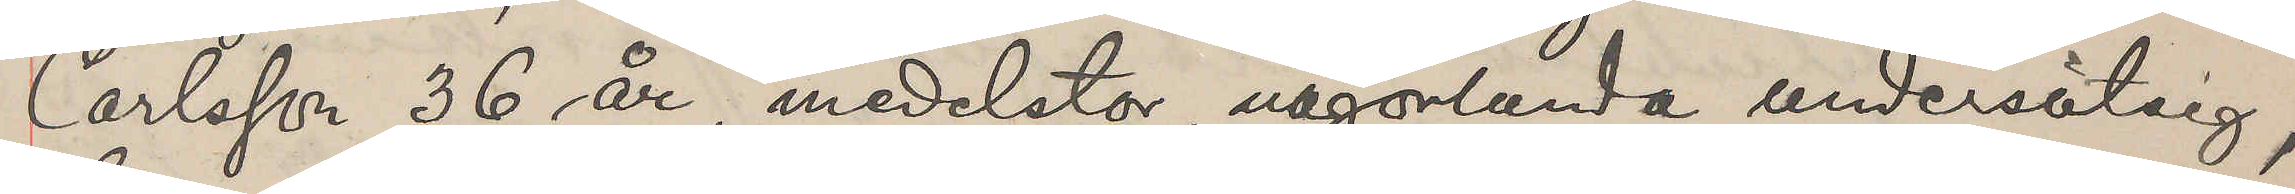Carlsson 36 år, medelstor någonlunda undersätsig,
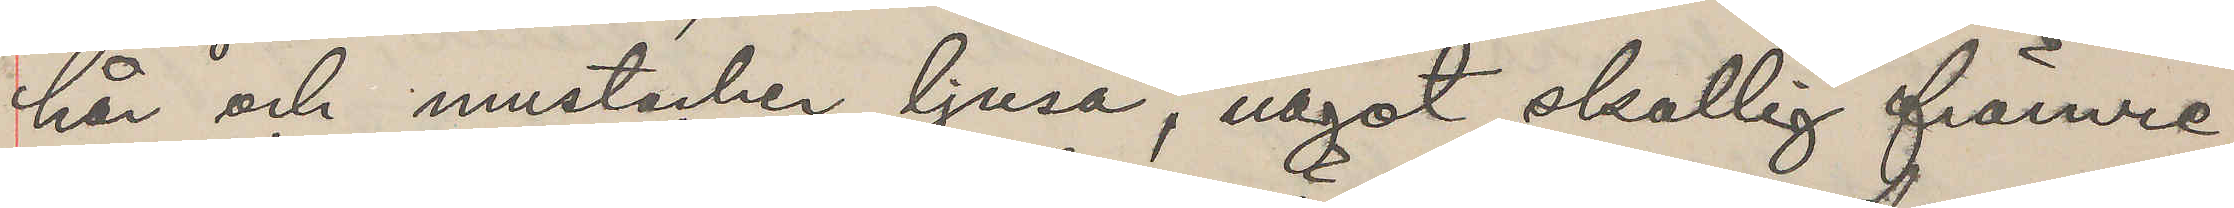hår och mustacher ljusa, något skallig främre
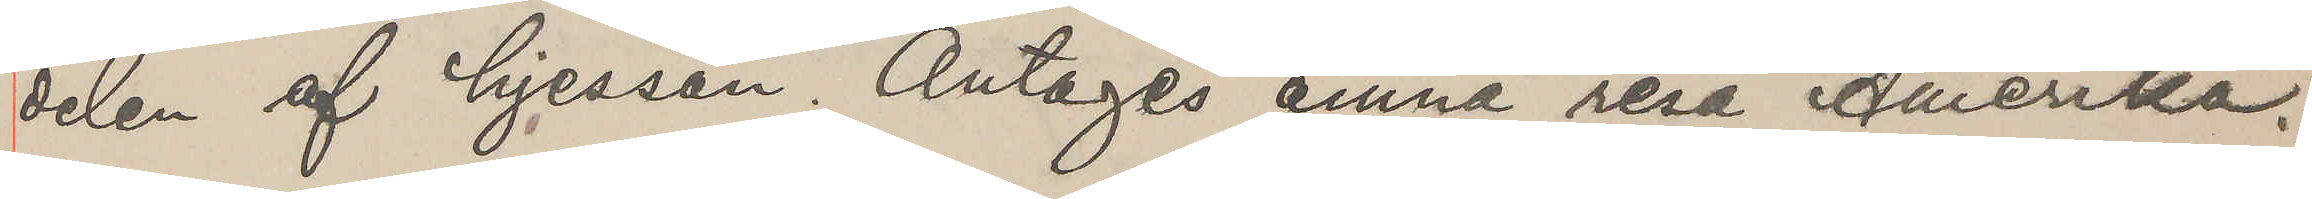delen af hjessan. Antages ämna resa Amerika.
